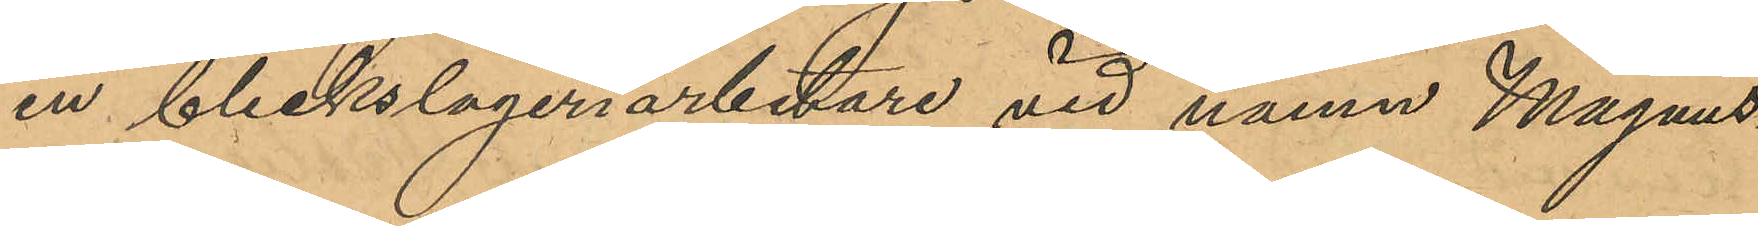en bleckslageriarbetare vid namn Magnus¬
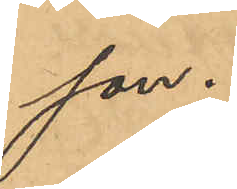son.
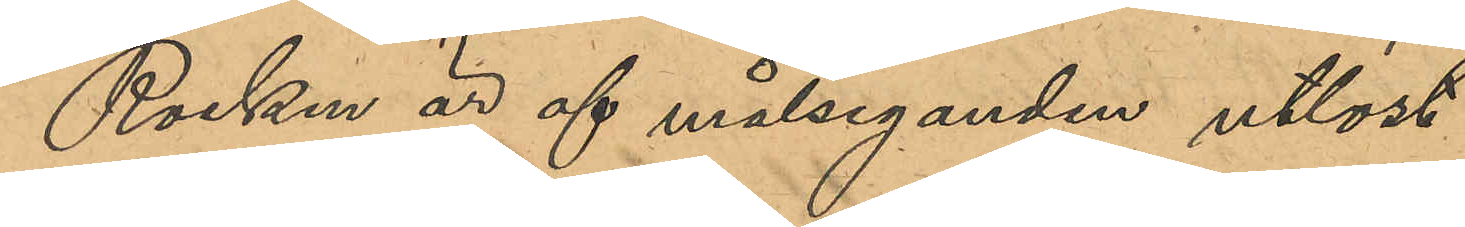Rocken är af målseganden utlöst.
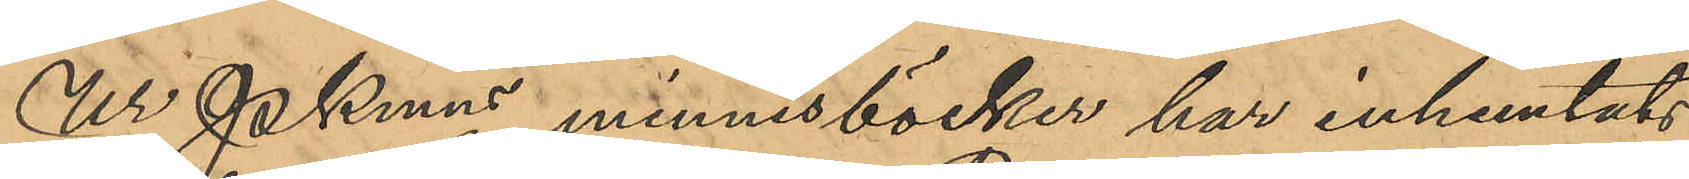Ur Pkmns minnesböcker har inhemtats
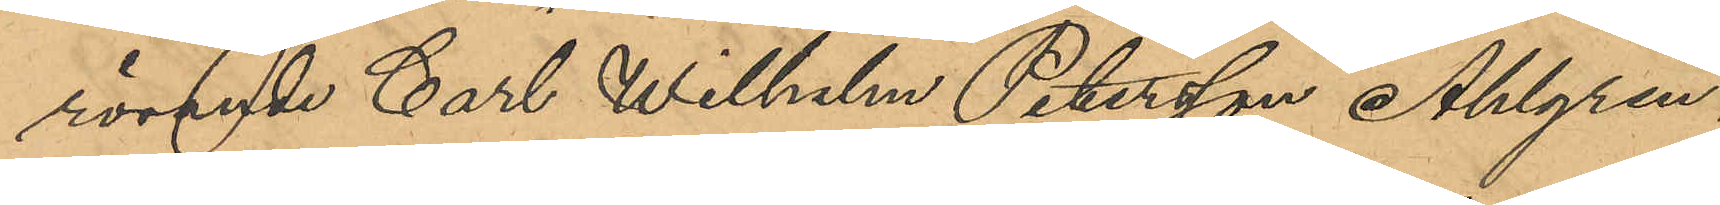rörande Carl Wilhelm Petersson Ahlgren,
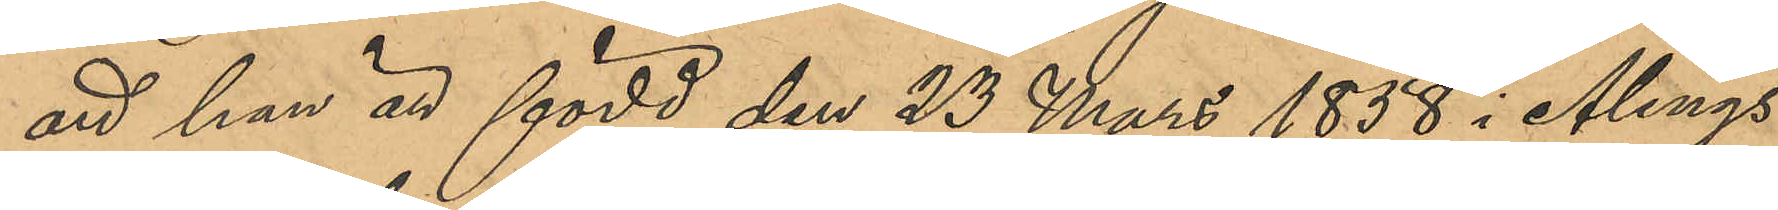att han är född den 23 Mars 1858 i Alings¬
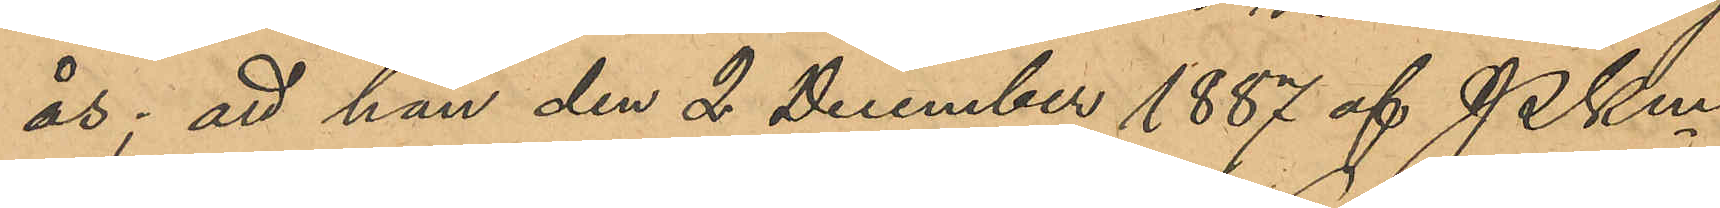ås; att han den 2 December 1887 af PKm
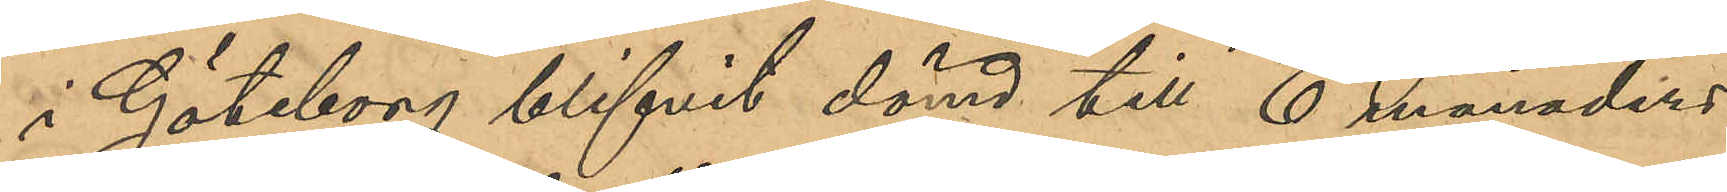i Göteborg blifvit dömd till 10 månaders
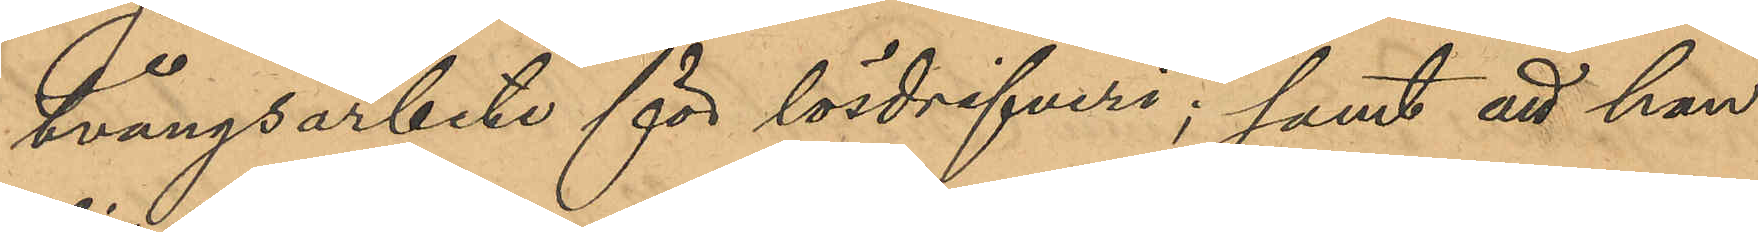tvångsarbete för lösdrifveri; samt att han
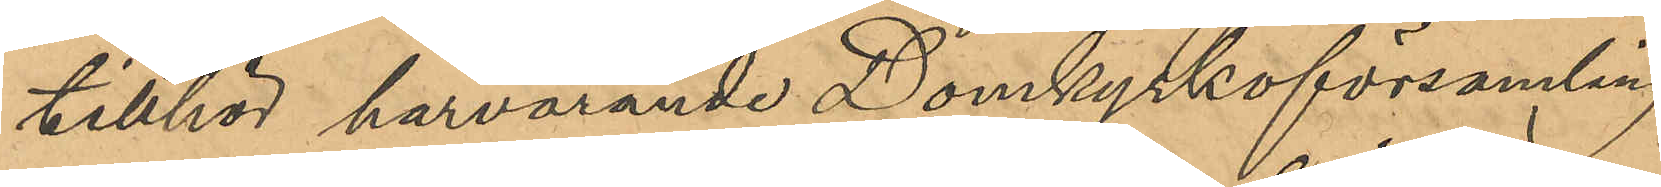tillhör härvarande Domkyrkoförsamling.
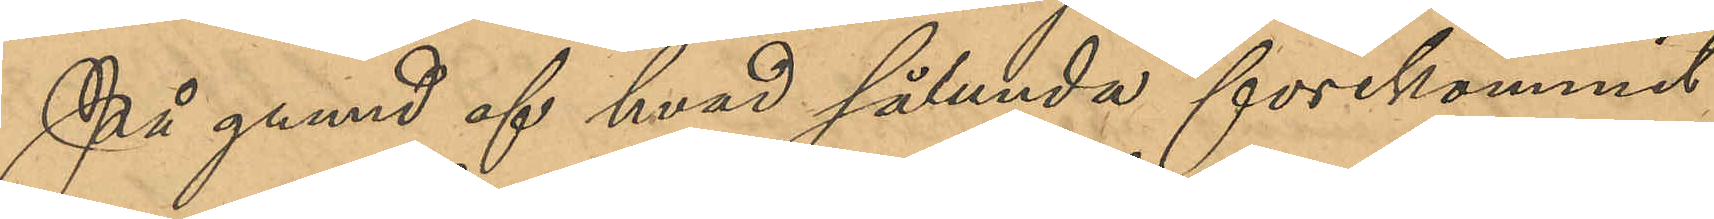På grund af hvad sålunda förekommit
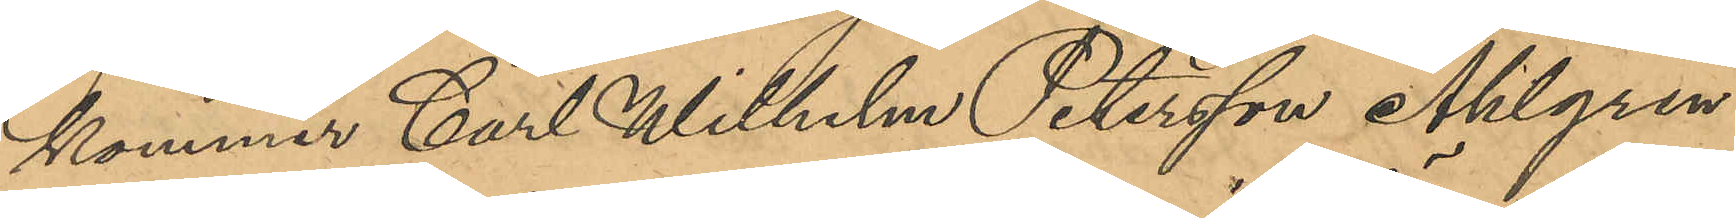kommer Carl Wilhelm Petersson Ahlgren
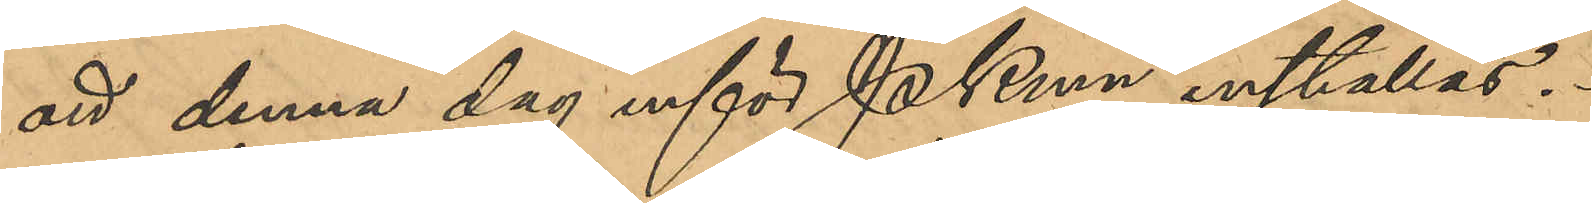att denna dag inför PKmn inställas.
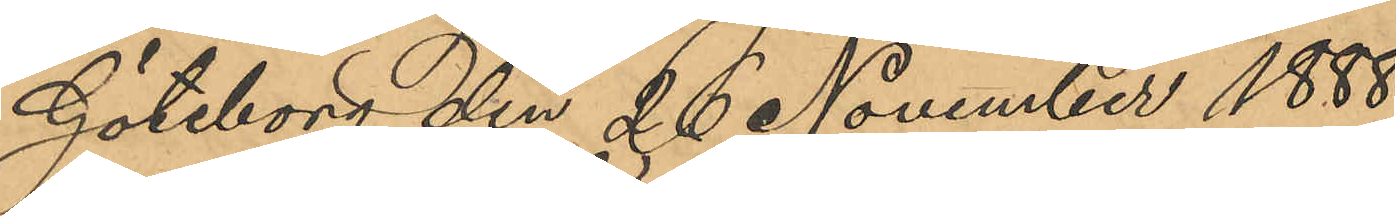Göteborg den 26 November 1888.
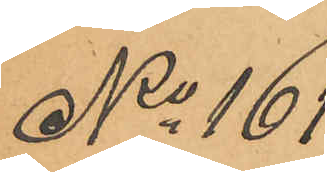No 161
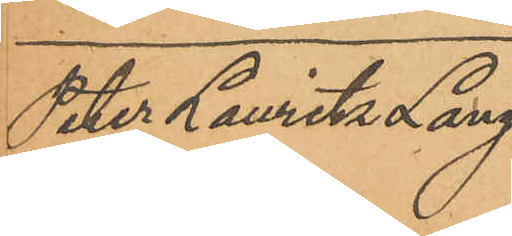Peter Lauritz Lang¬
